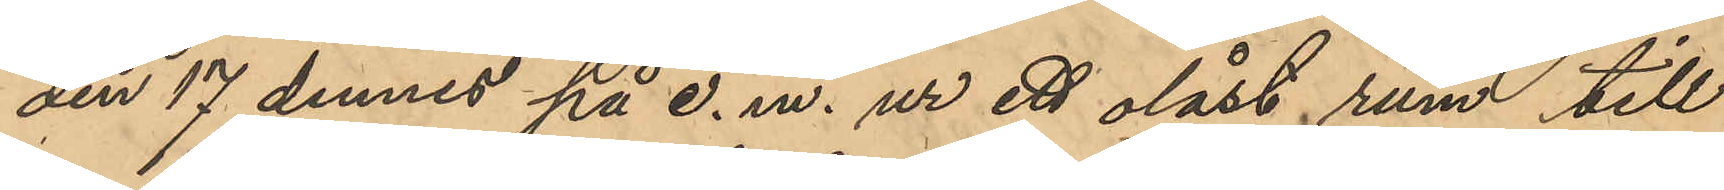den 17 dennes på e. m. ur ett olåst rum till
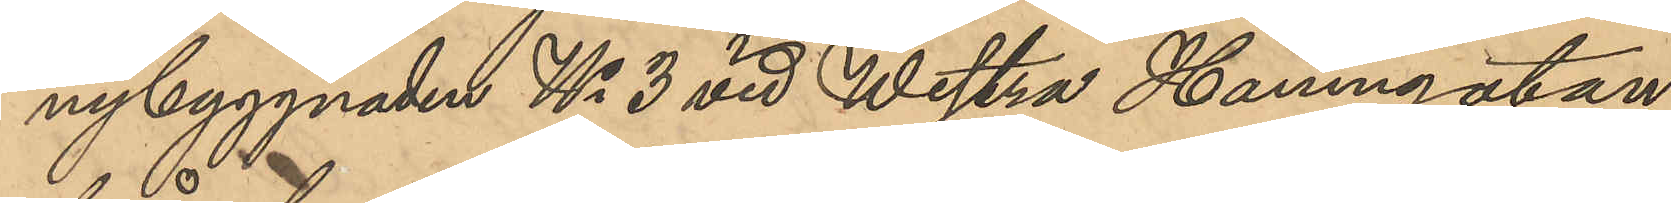nybyggnaden No 3 vid Westra Hamngatan
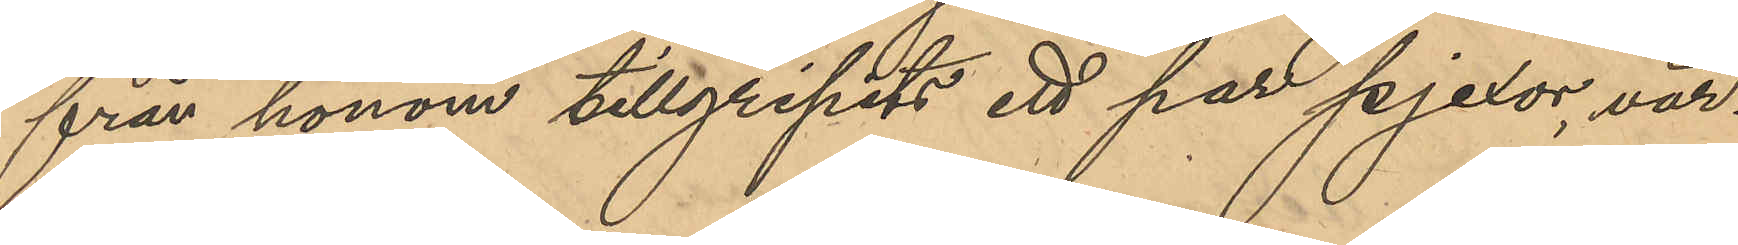från honom tillgripits ett par pjexor, vär¬
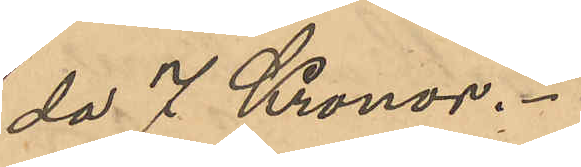da 7 Kronor.
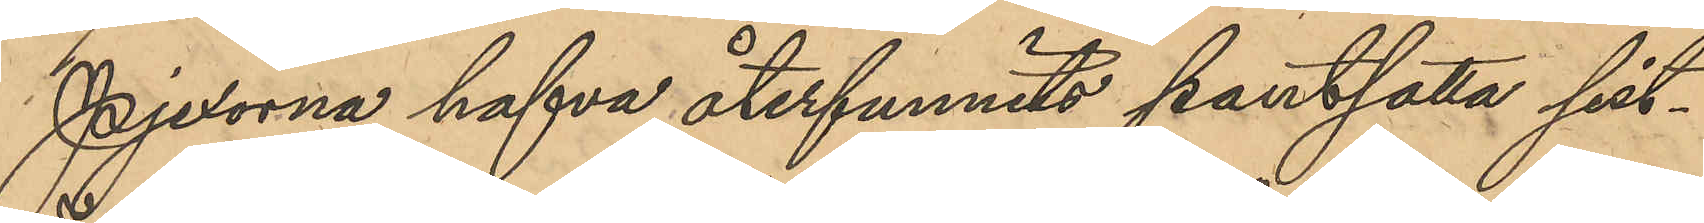Pjexorna hafva återfunnits pantsatta sist¬
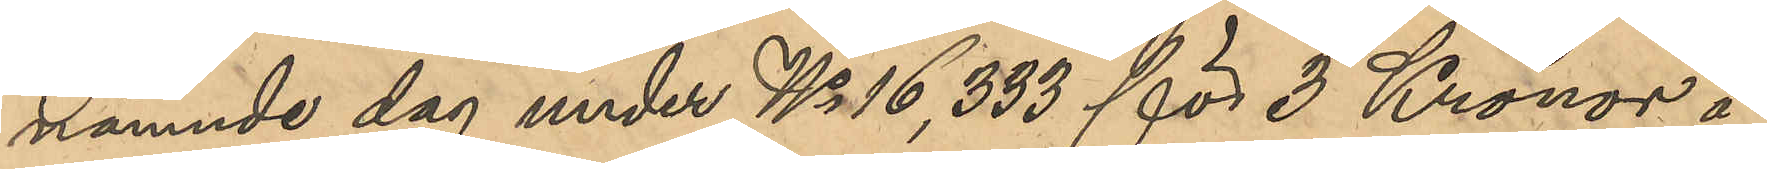nämnde dag under No 16,333 för 3 Kronor å
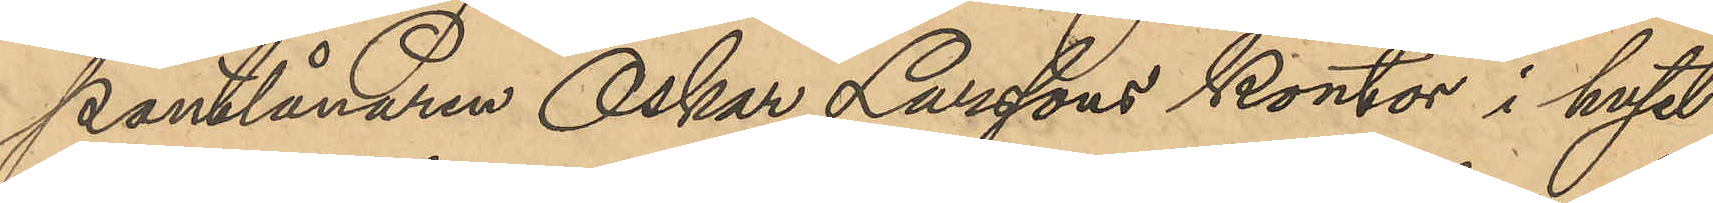Pantlånaren Oskar Larssons kontor i huset
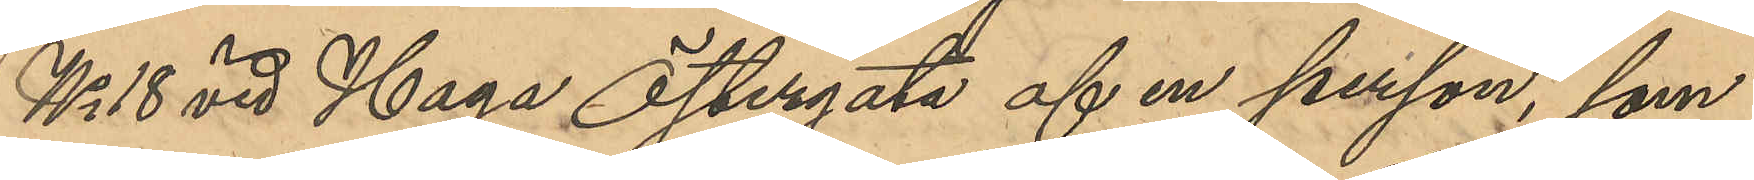No 18 vid Haga Östergata af en person, som
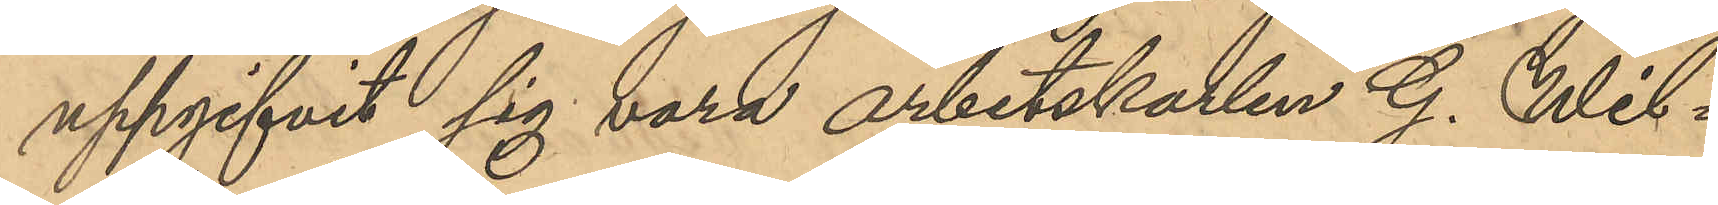uppgifvit sig vara arbetskarlen G. Wil¬
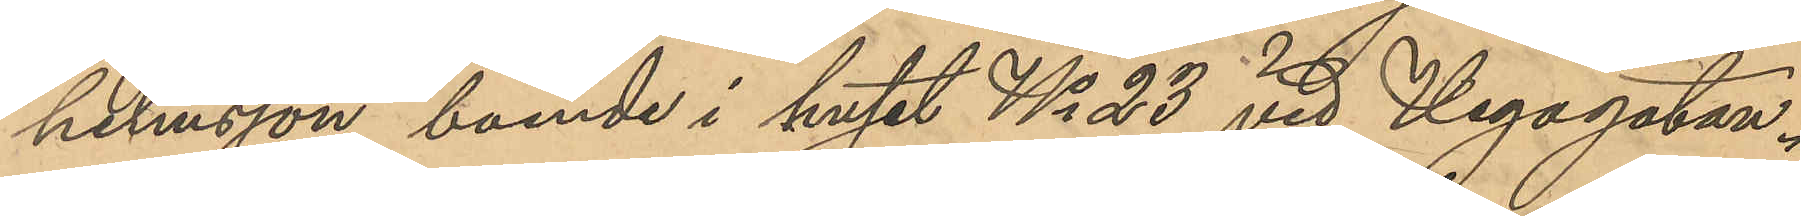helmsson, boende i huset No 23 vid Vegagatan.
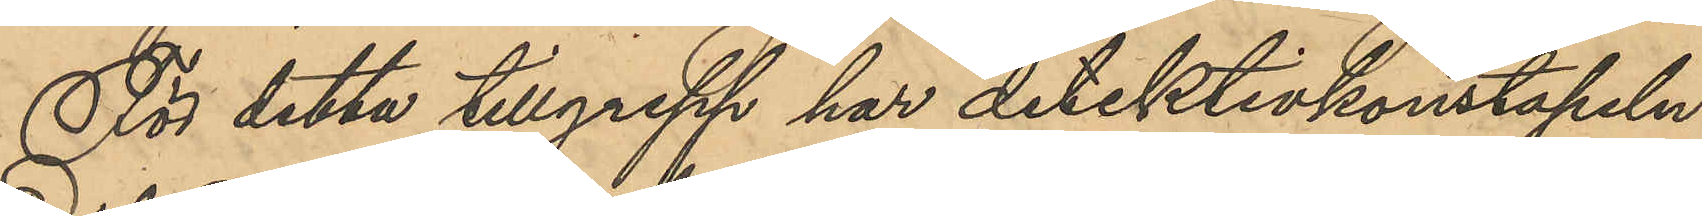För detta tillgrepp har detektivkonstapeln
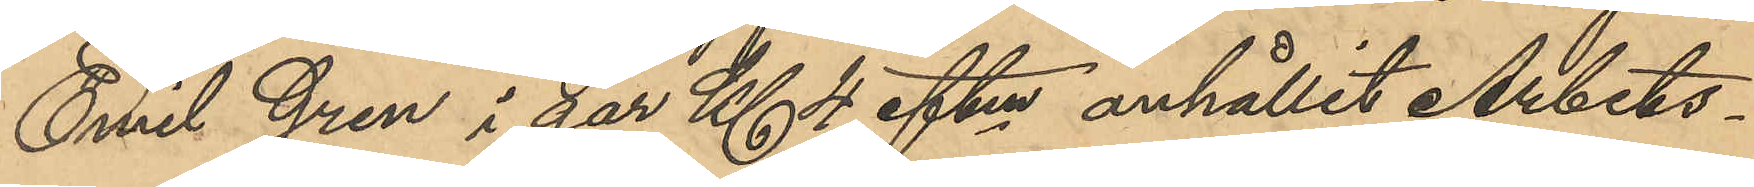Emil Gren i går Kl 4 eftm anhållit Arbets¬
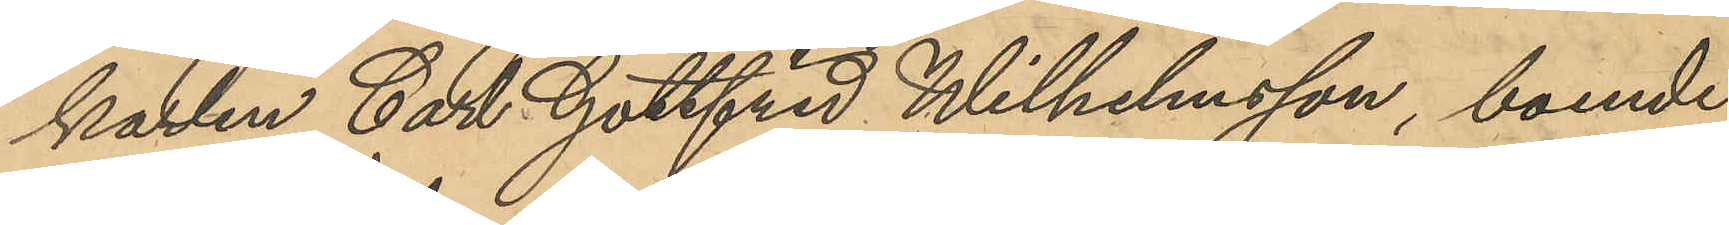karlen Carl Gottfrid Wilhelmsson, boende
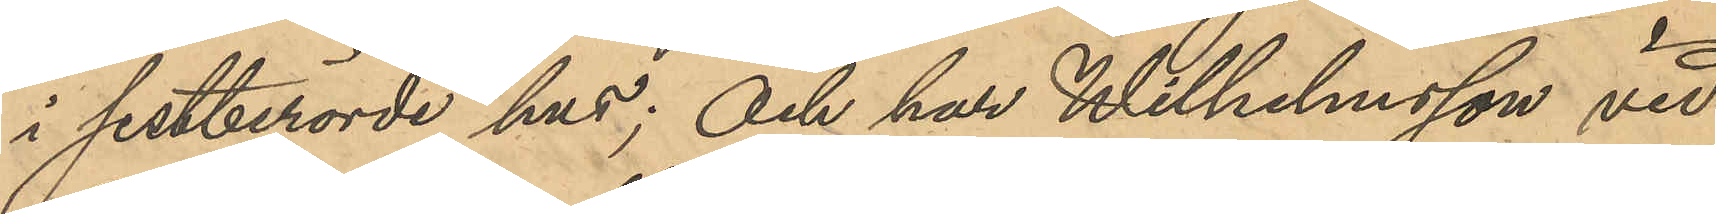i sistberörde hus; Och har Wilhelmsson vid
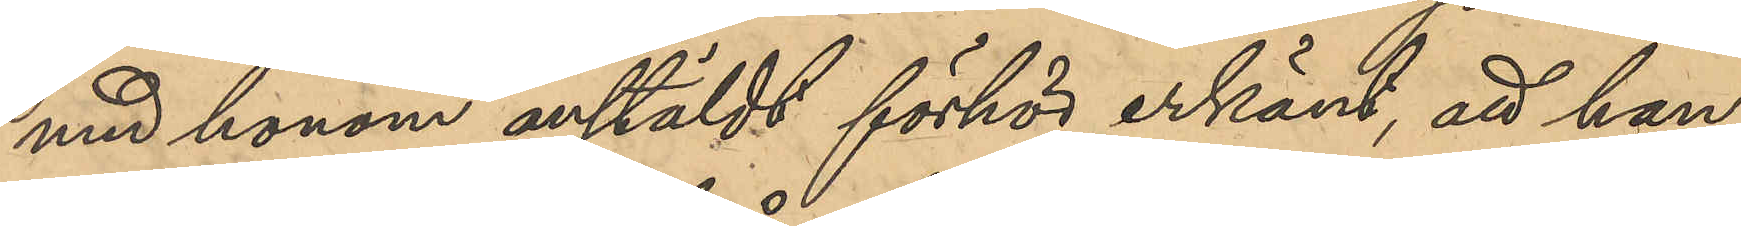med honom anstäldt förhör erkänt, att han,
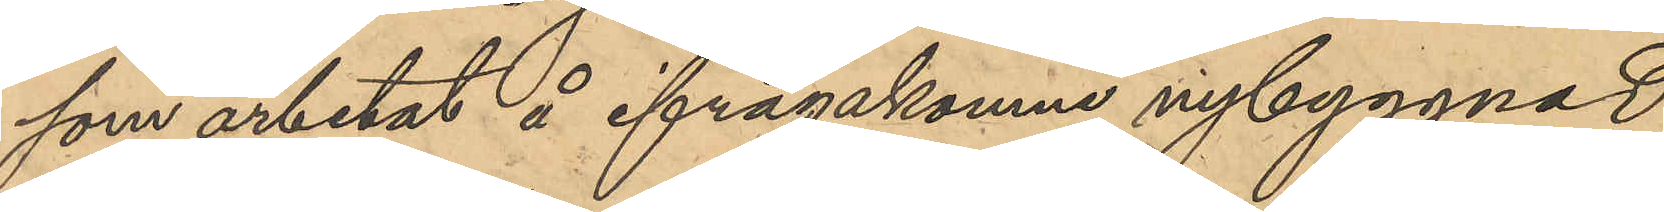som arbetat å ifrågakomne nybyggnad,
